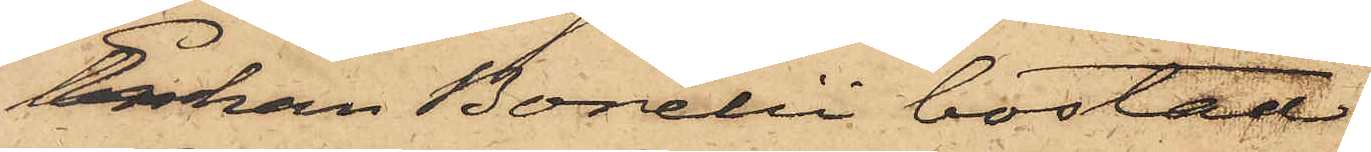Enkan Borelii bostad.
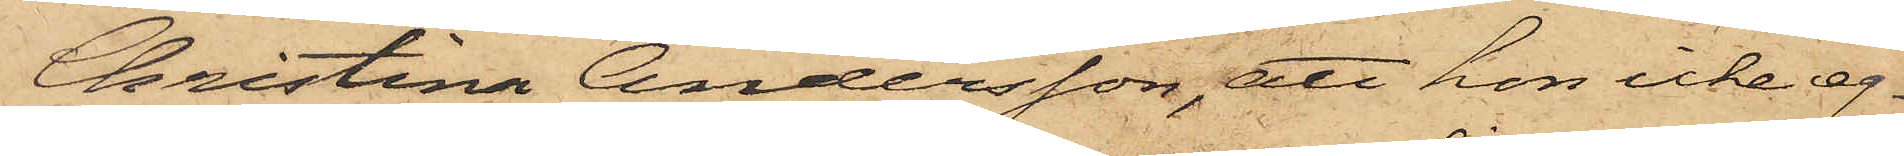Christina Andersson, att hon icke eg¬
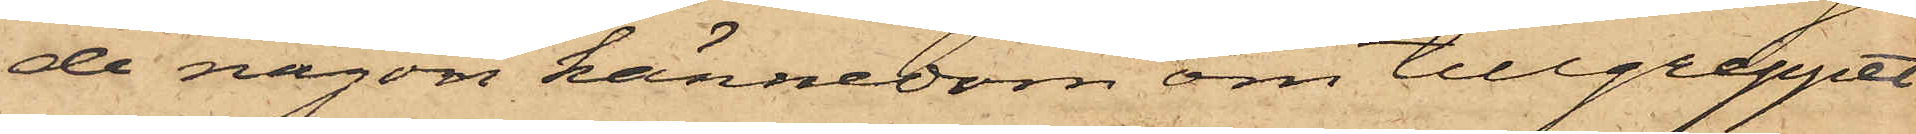de någon kännedom om tillgreppet
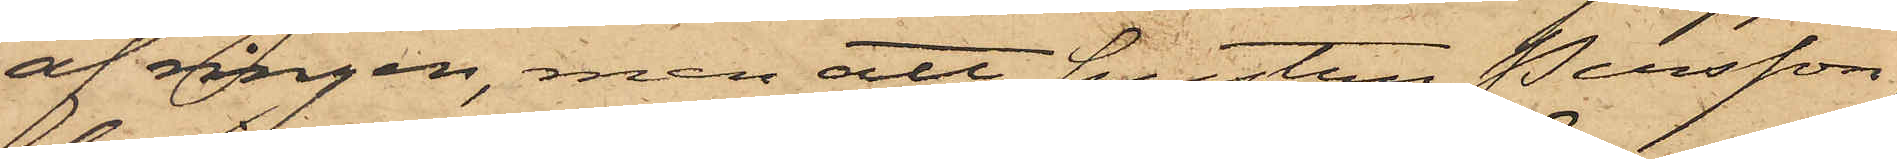af ringen, men att hustru Persson,
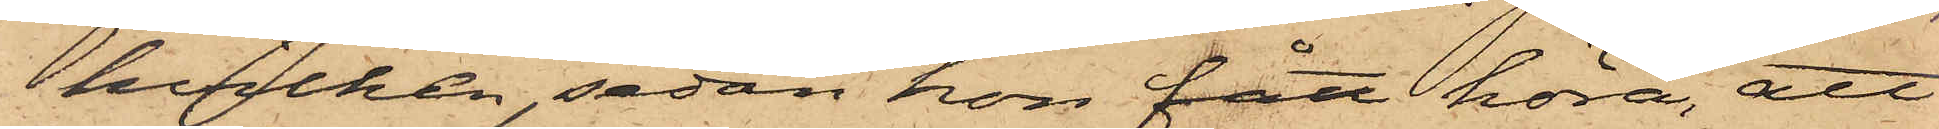hvilken, sedan hon fått höra, att
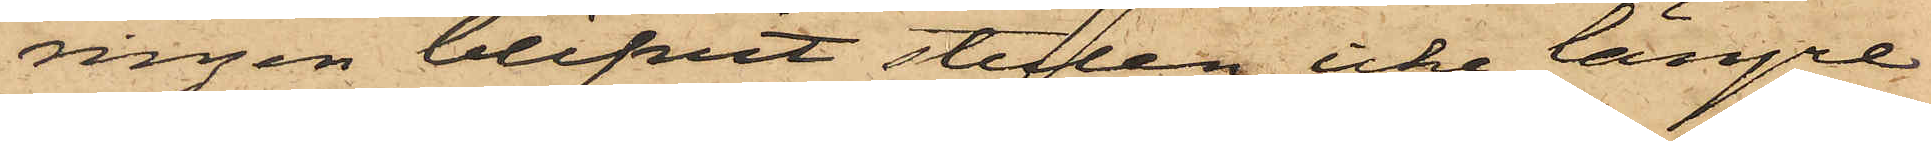ringen blifvit stulen, icke längre
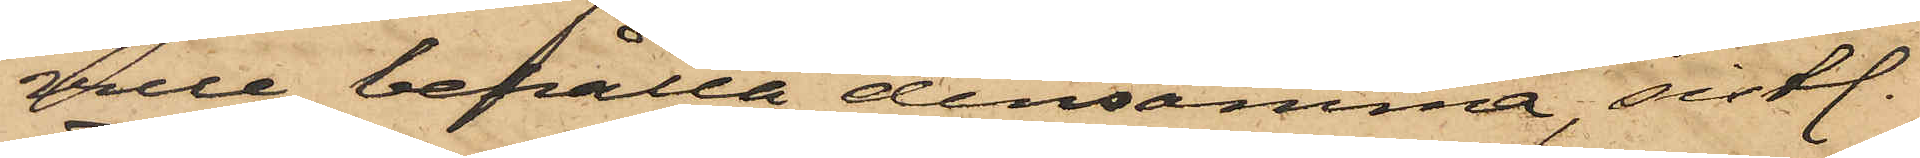ville behålla densamma, sistl.
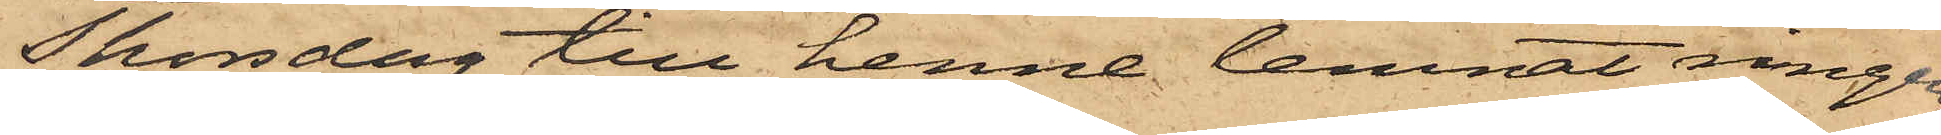Thorsdag till henne lemnat ringen
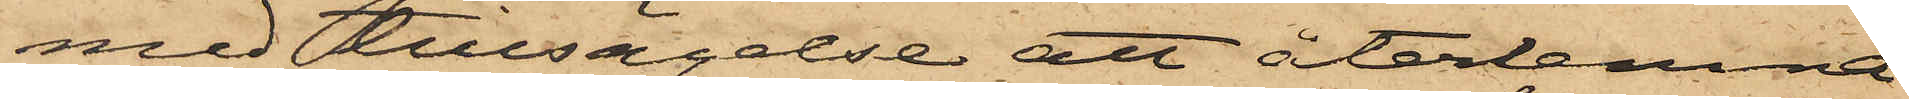med tillsägelse att återlemna
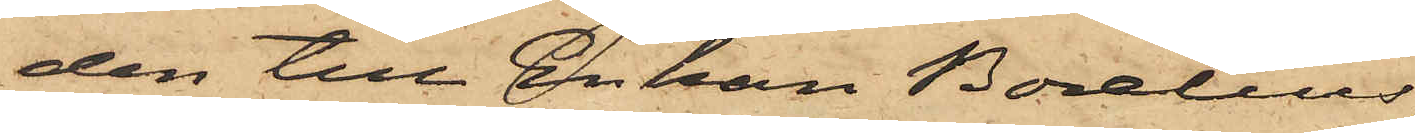den till Enkan Borelius,
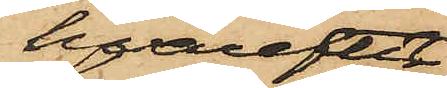hvarefter
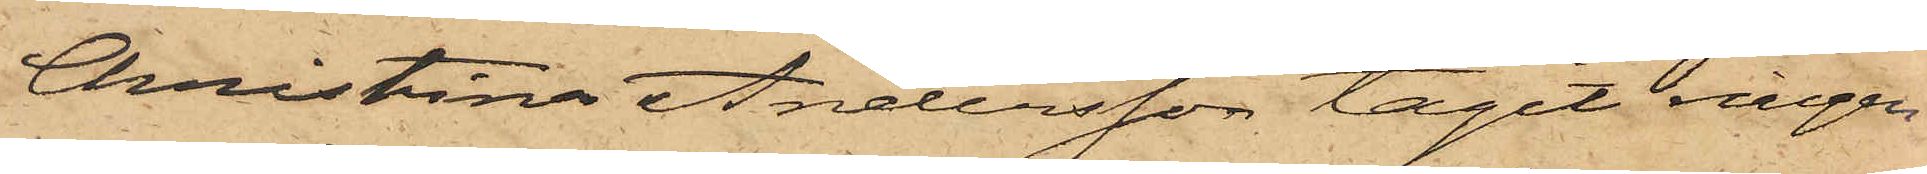Christina Andersson tagit ringen
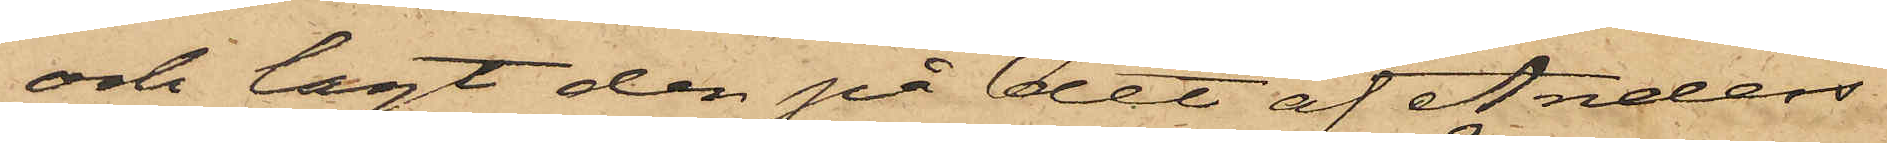och lagt den på det af Anders
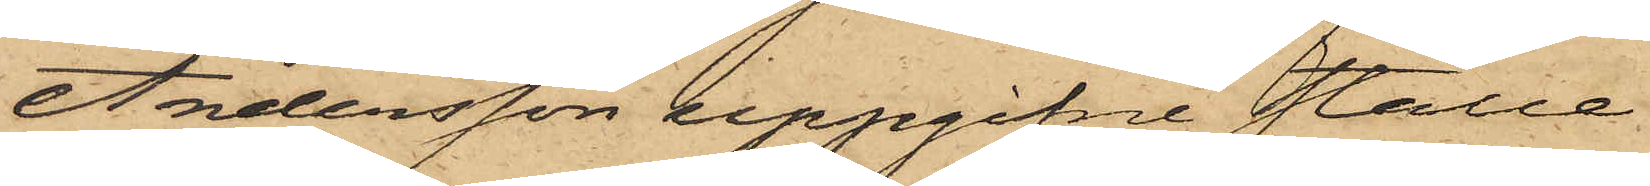Andersson uppgifne ställe.
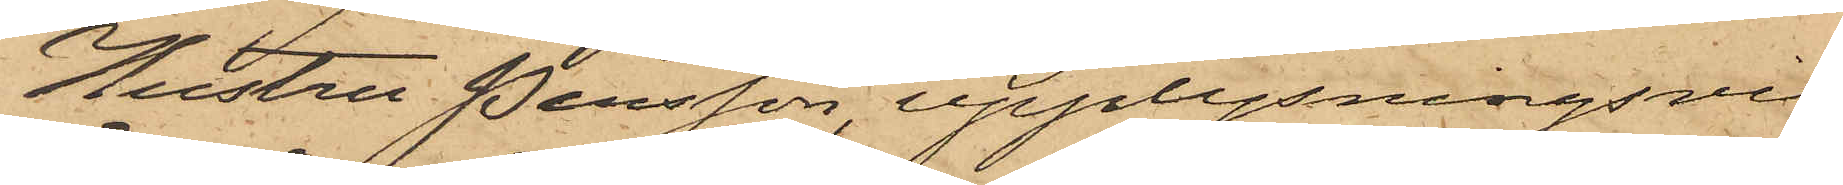Hustru Persson, upplysningsvis
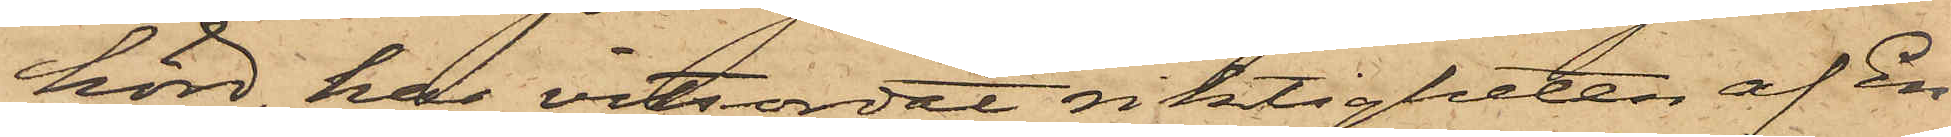hörd, har vitsordat riktigheten af En¬
